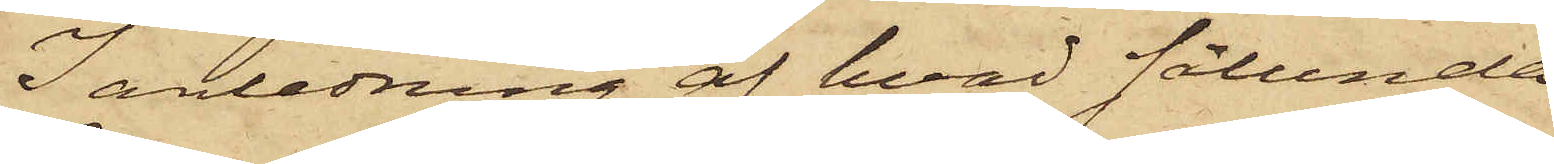I anledning af hvad sålunda
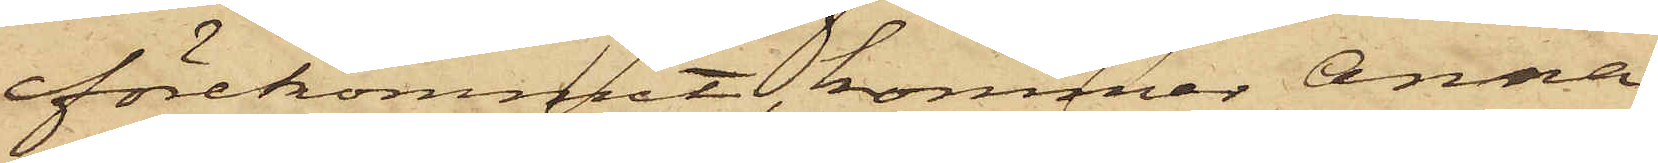förekommit, kommer Anna
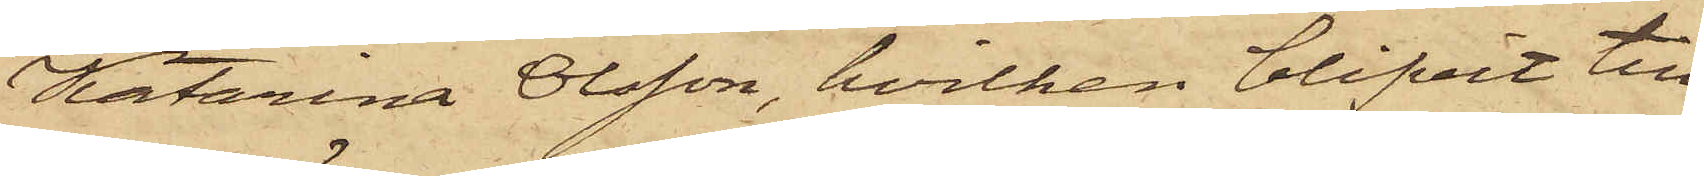Katarina Olsson, hvilken blifvit till
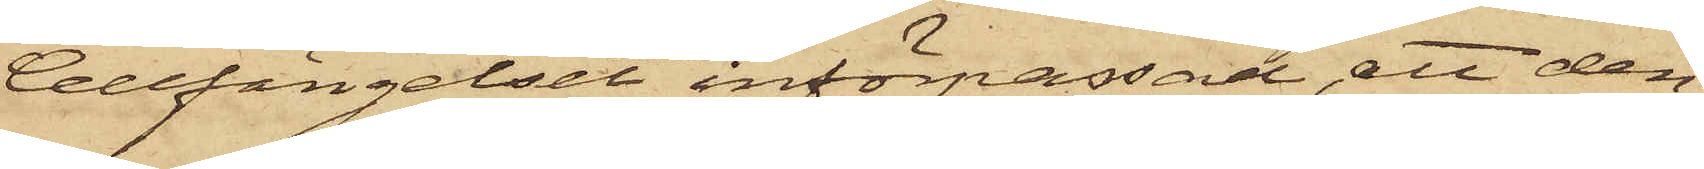Cellfängelset införpassad, att den
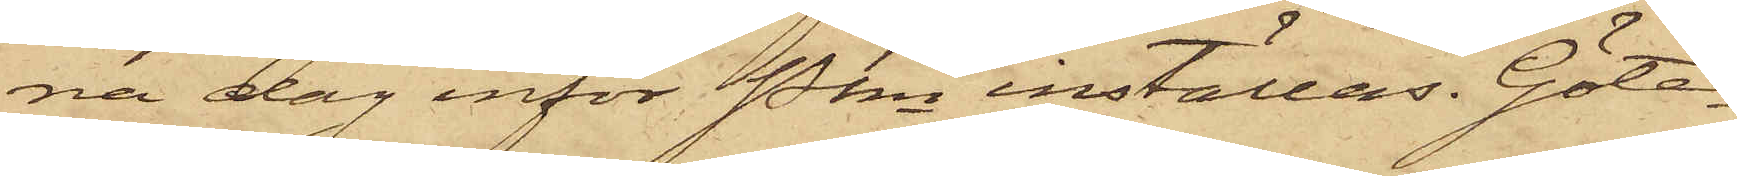na dag inför Pkn inställas. Göte¬
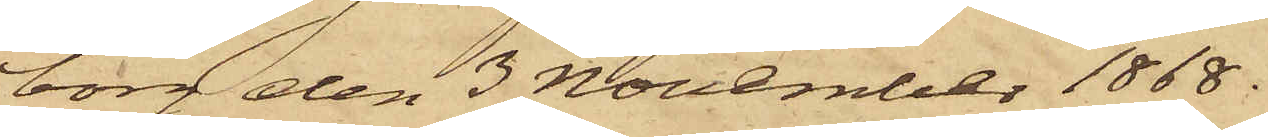borg den 3 November 1868.
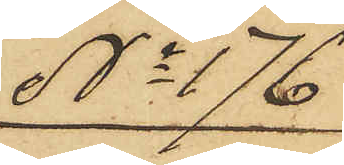No 176
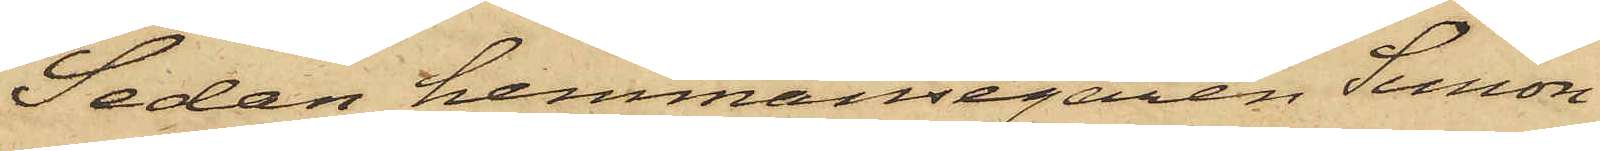Sedan hemmansegaren Persson
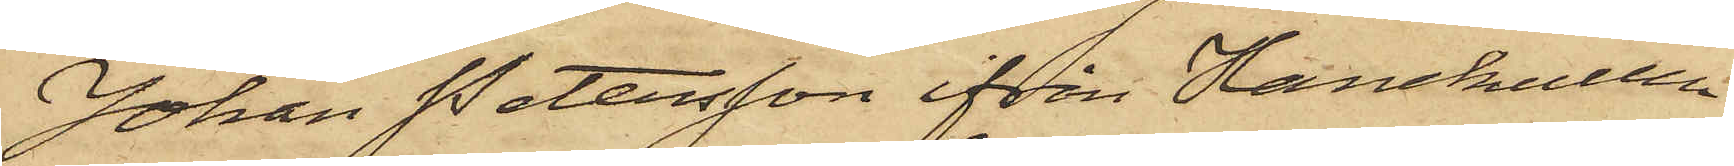Johan Petersson ifrån Hanekullen
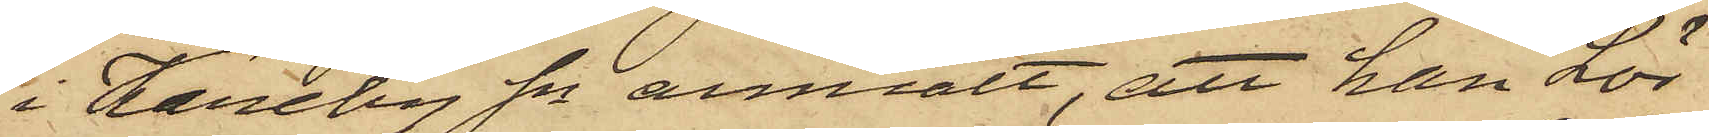i Kareby Sn anmält, att han Lör¬
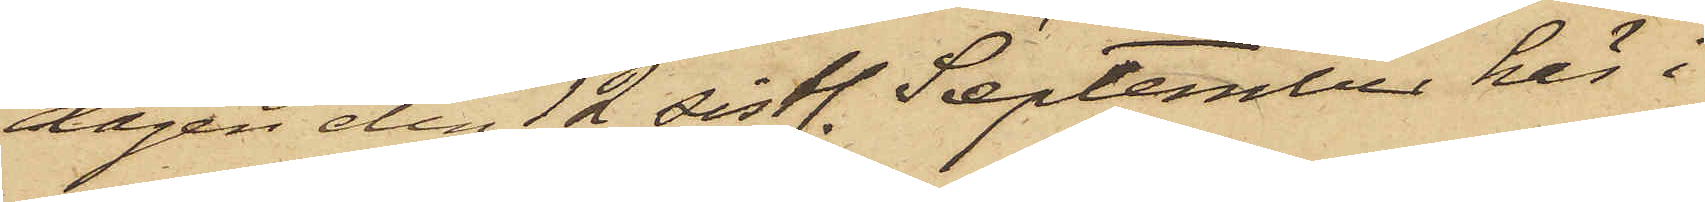dagen den 12 sistl. September här i
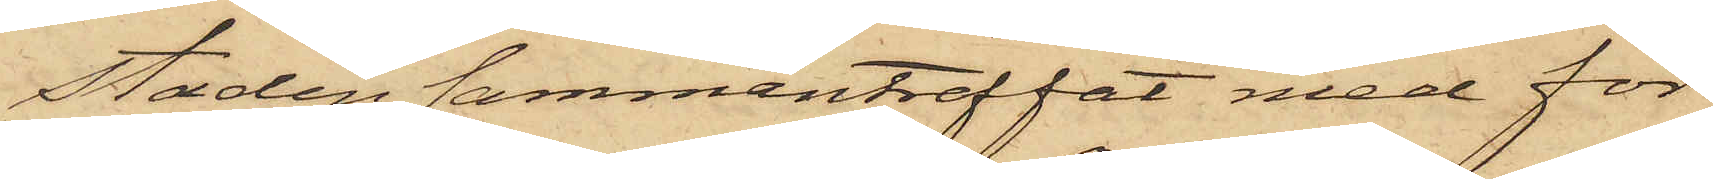Staden sammanträffat med för
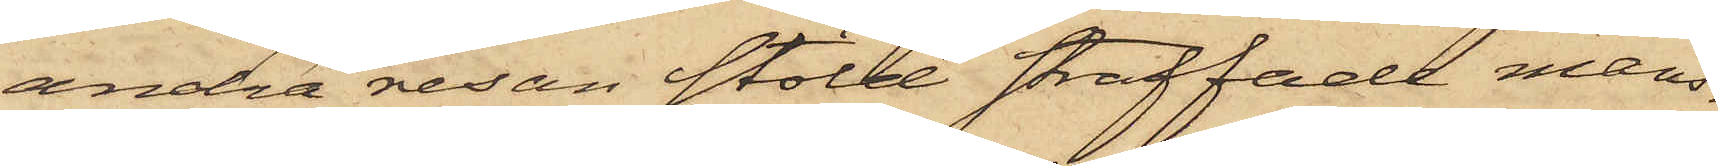andra resan stöld straffade mans¬
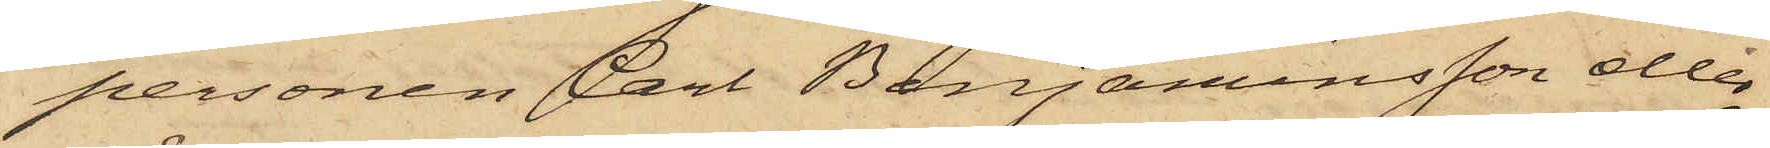personen Carl Benjaminsson eller
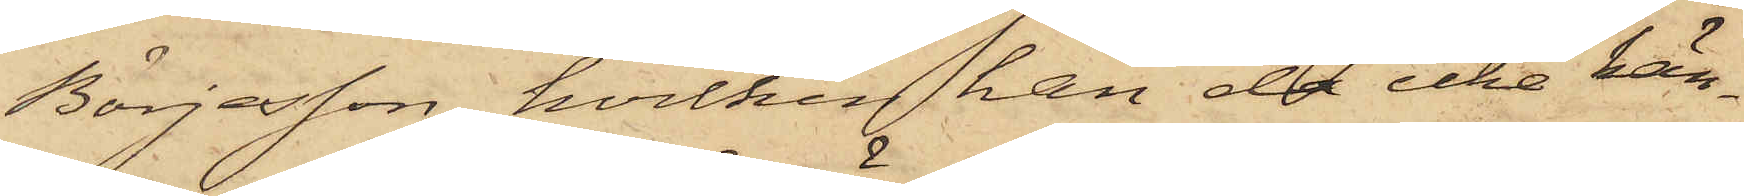Börjesson, hvilken han då icke kän¬
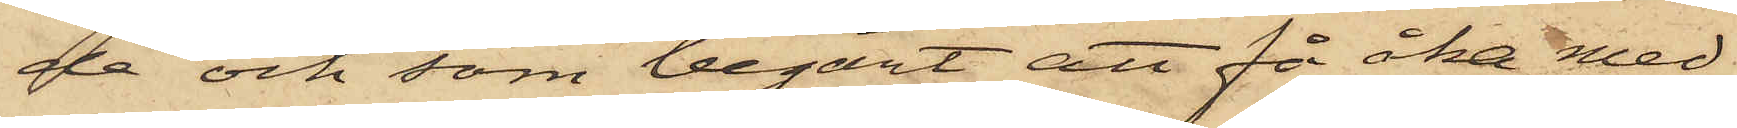de och som begärt att få åka med
